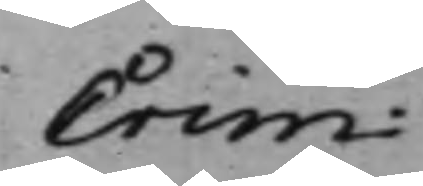Crim:
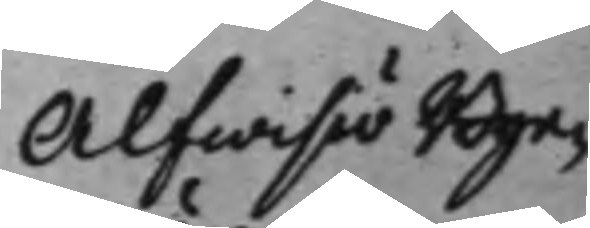Alfwisiö Bye¬
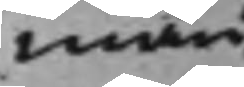män
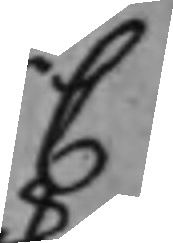C
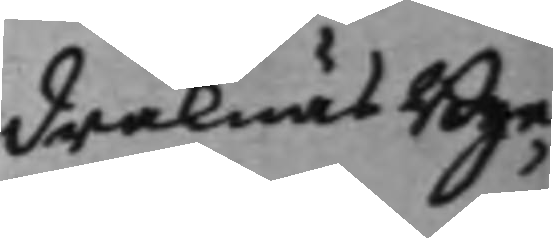Draknäs Bye¬
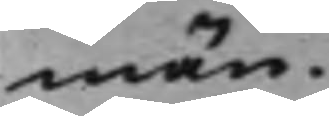män.
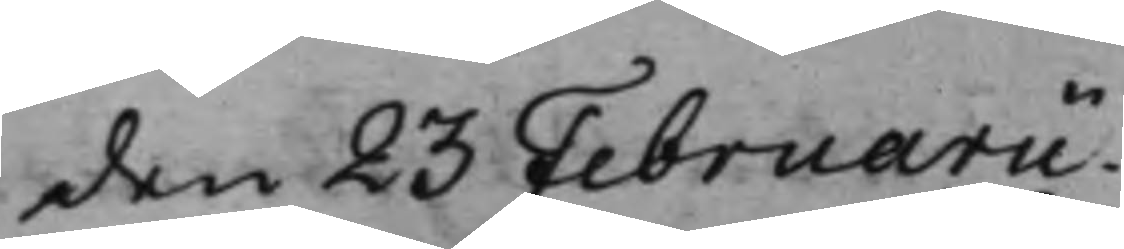den 23 Februarii.
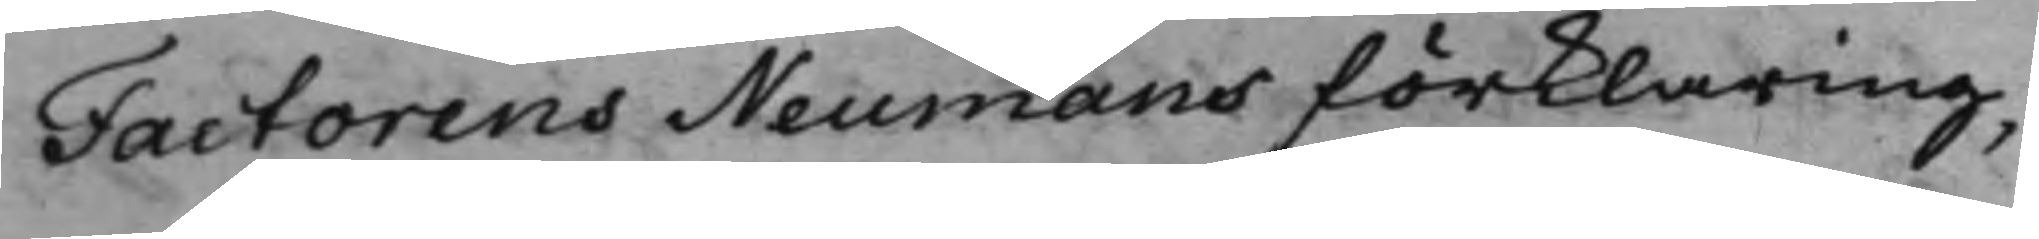Factorens Neumans förklaring,
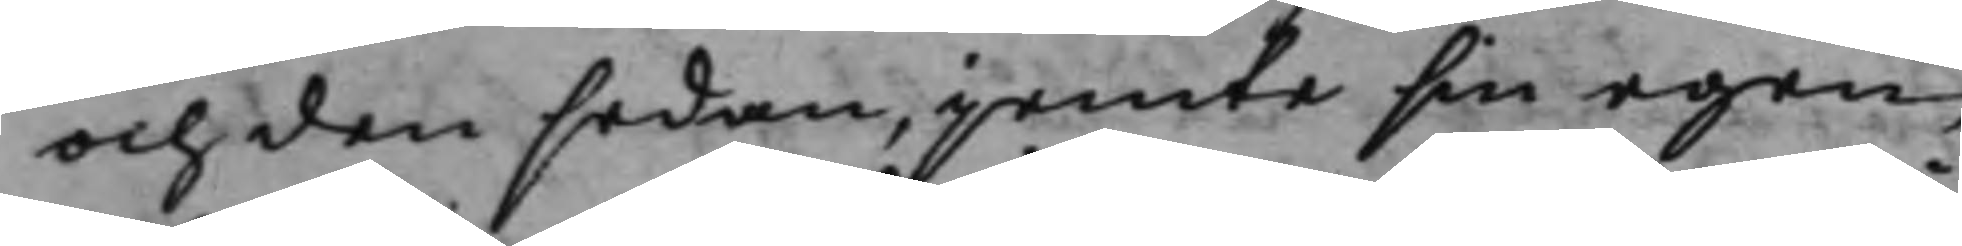och den sedan, jemte sin egen,
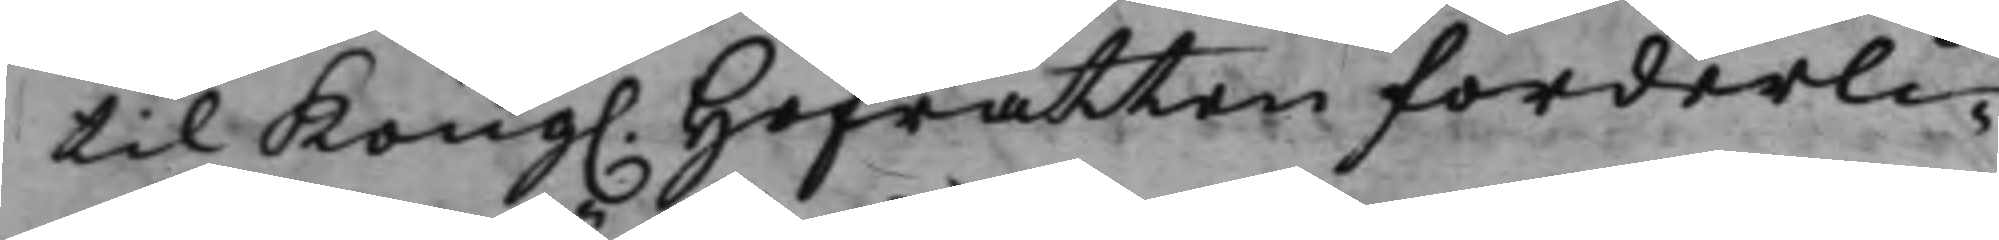til Kong. Hofrätten forderli¬
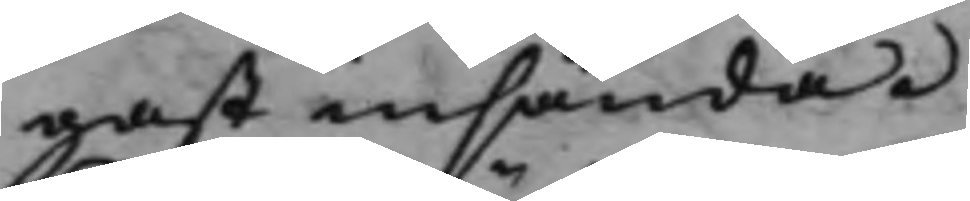gast insända.
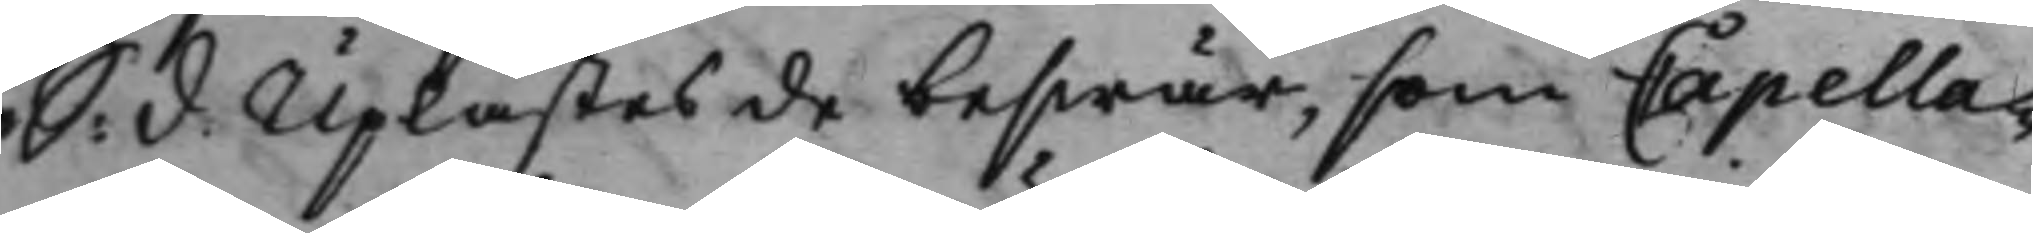S: d: Uplästes de beswär, som Capella¬
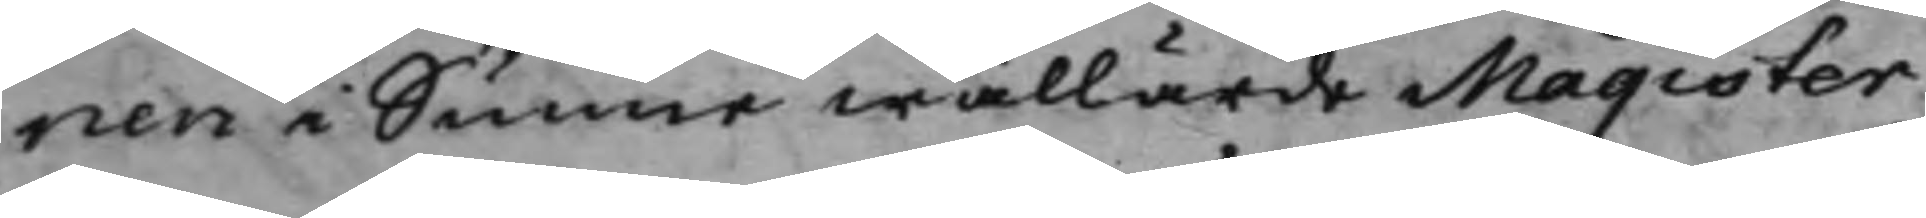nen i Sunne wällärde Magister
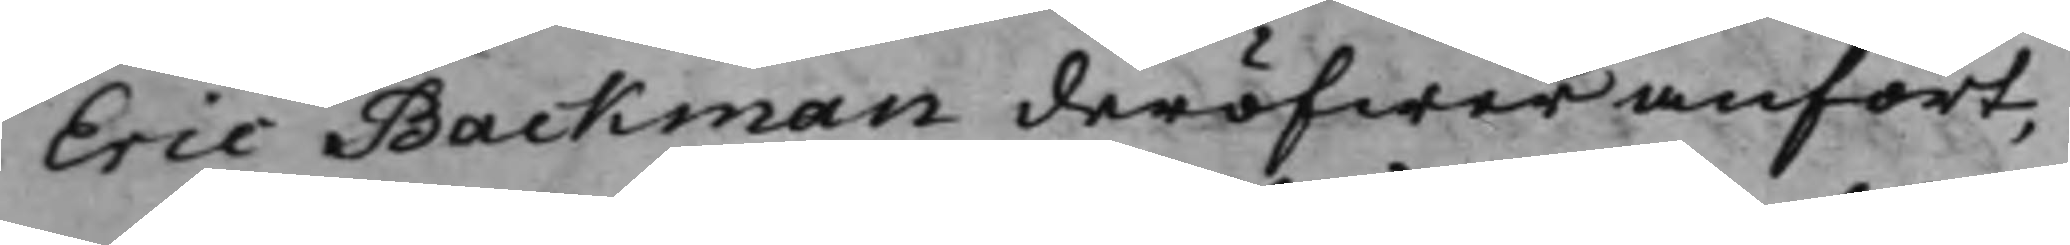Eric Backman deröfwer anfört,
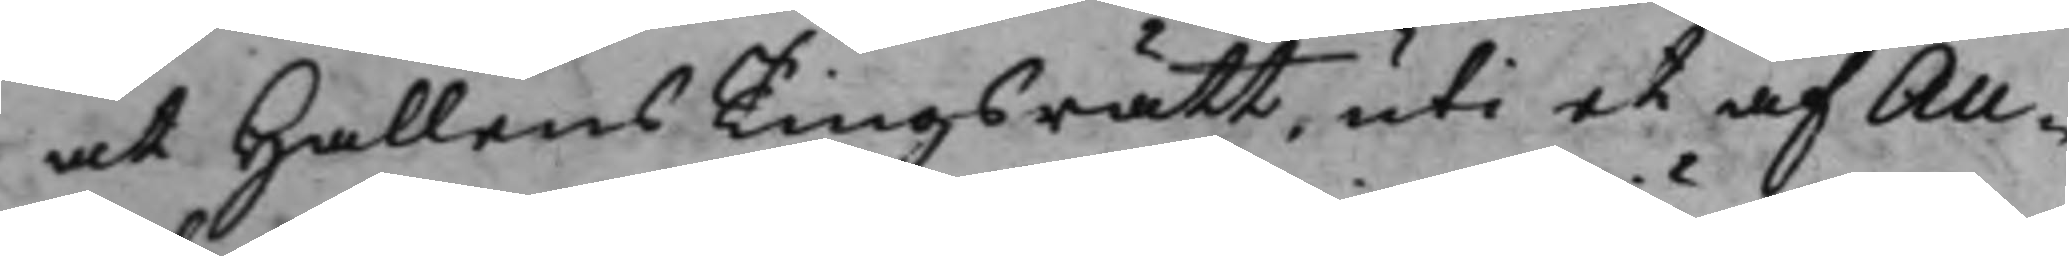at Hallens Tingsrätt, uti et af Au¬
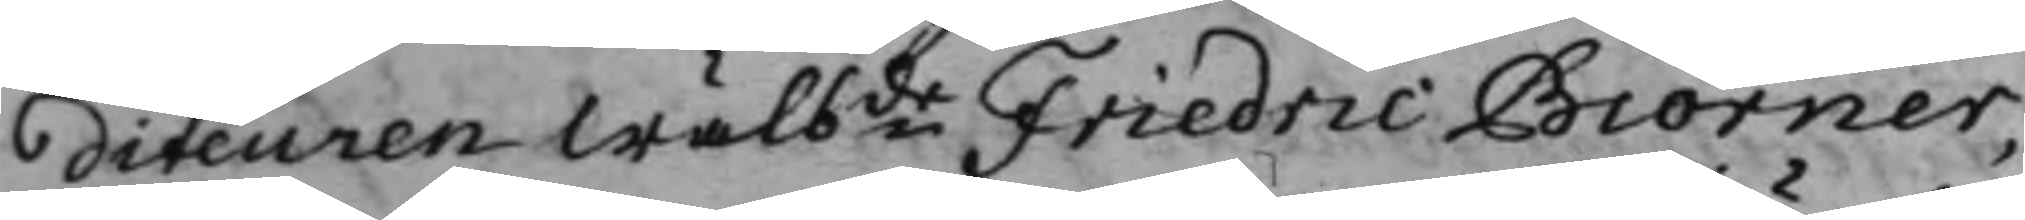diteuren Wälbde Friedric Biörner,
